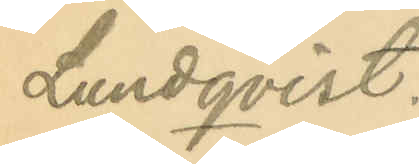Lundqvist.
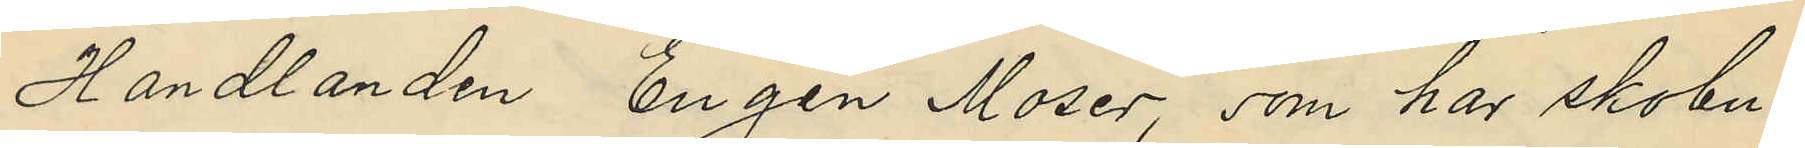Handlanden Eugen Moser, som har skobu¬
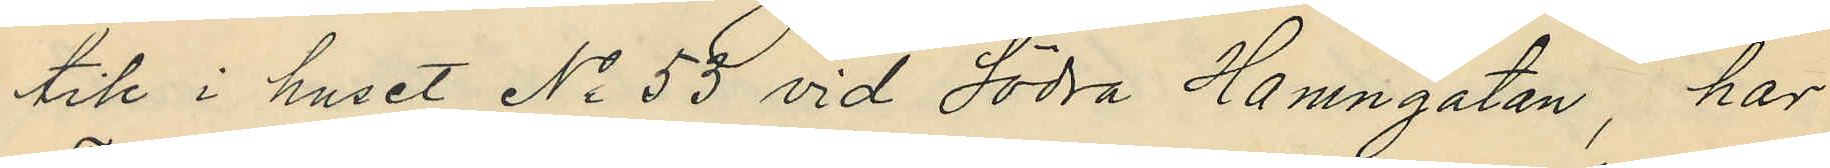tik i huset No 53 vid Södra Hamngatan, har
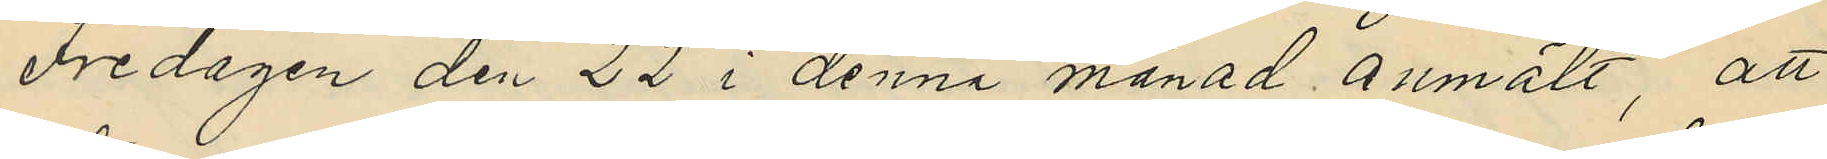Fredagen den 22 i denna månad anmält, att
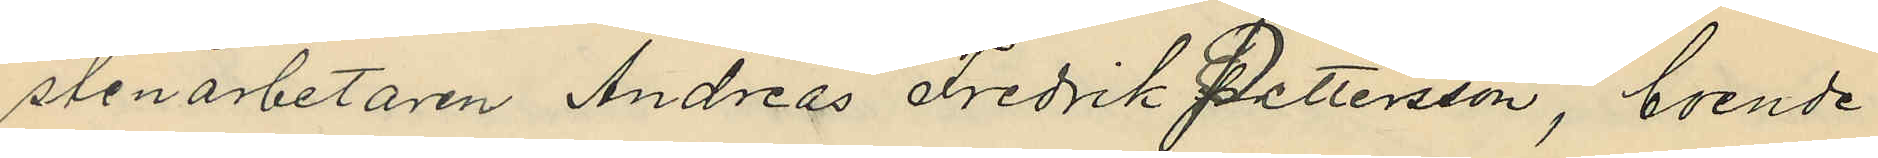stenarbetaren Andreas Fredrik Pettersson, boende
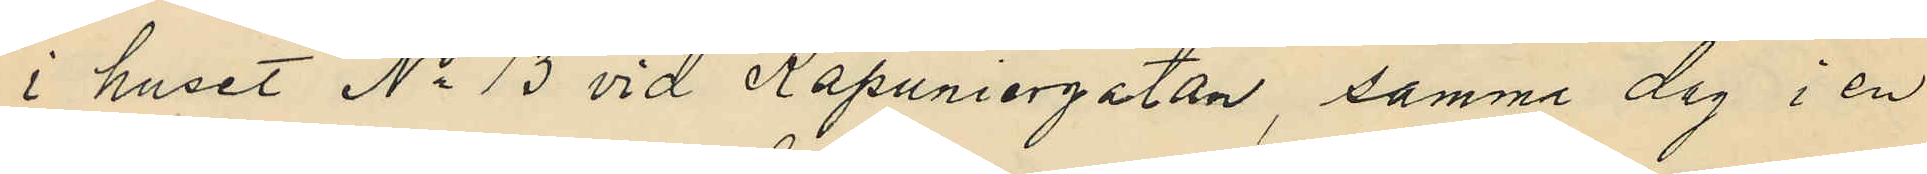i huset No 13 vid Kapuniergatan, samma dag i en
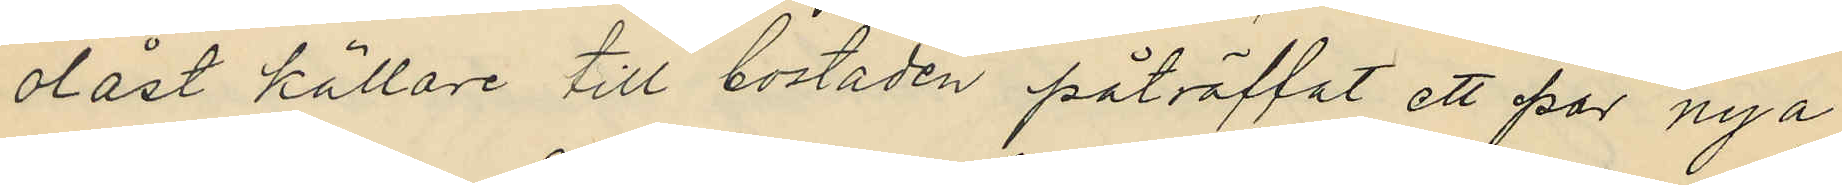olåst källare till bostaden påträffat ett par nya
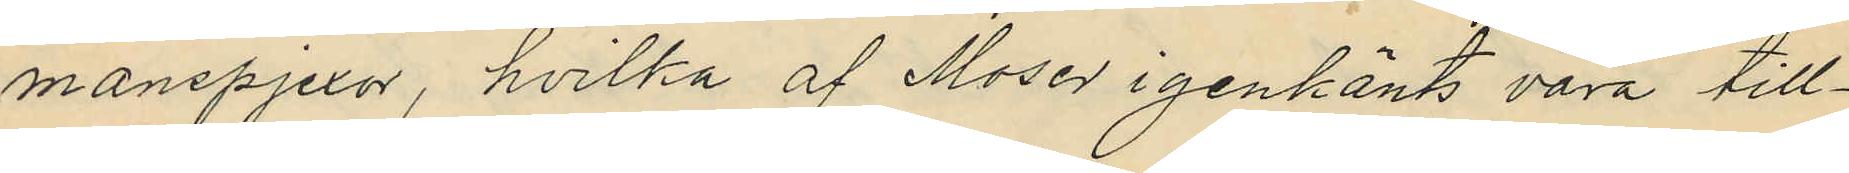manspjexor, hvilka af Moser igenkänts vara till¬
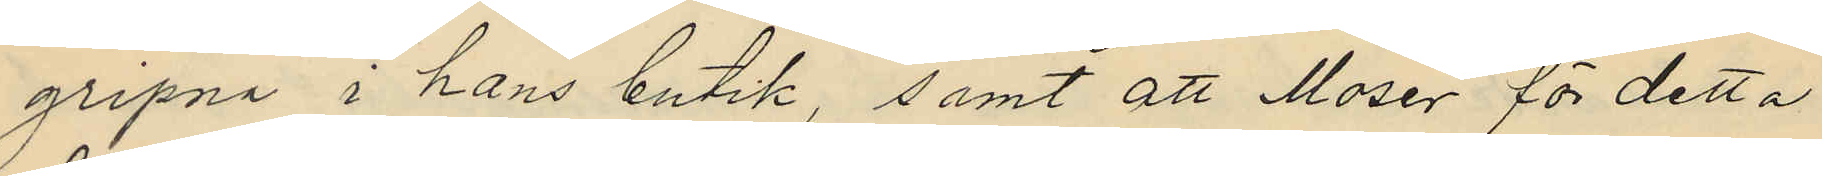gripna i hans butik, samt att Moser för detta
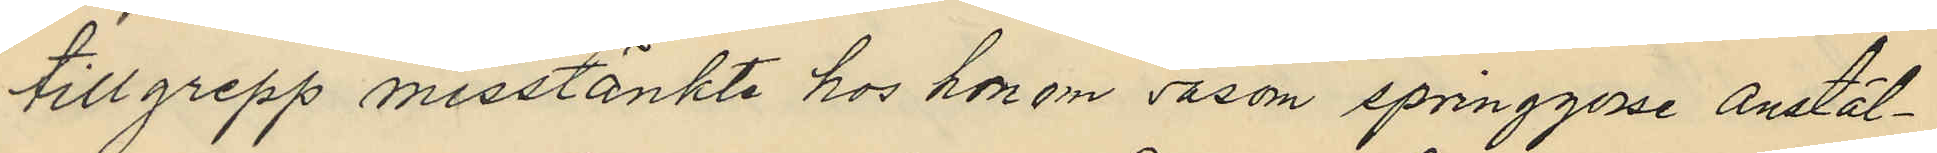tillgrepp misstänkte hos honom såsom springgosse anstäl¬
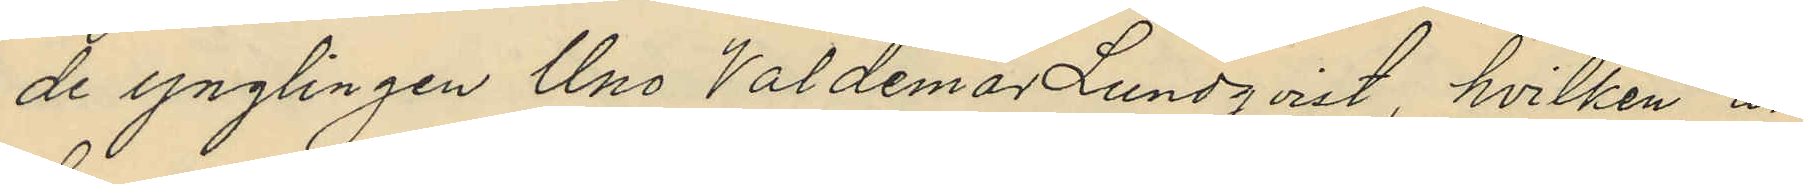de ynglingen Uno Valdemar Lundqvist, hvilken är
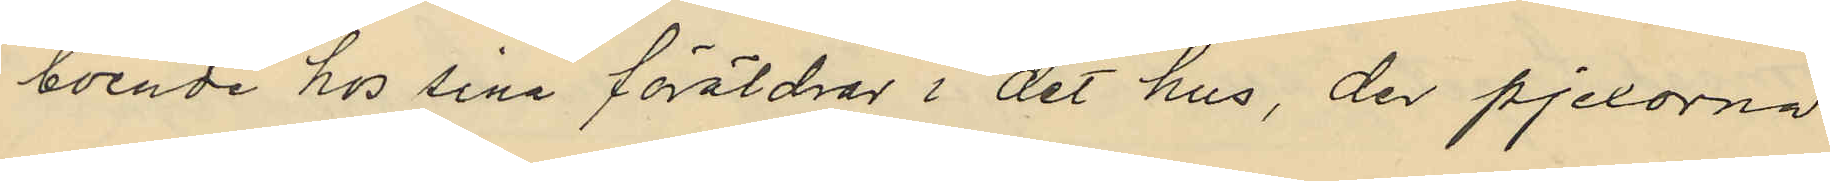boende hos sina föräldras i det hus, der pjexorna
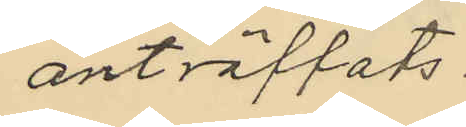anträffats.
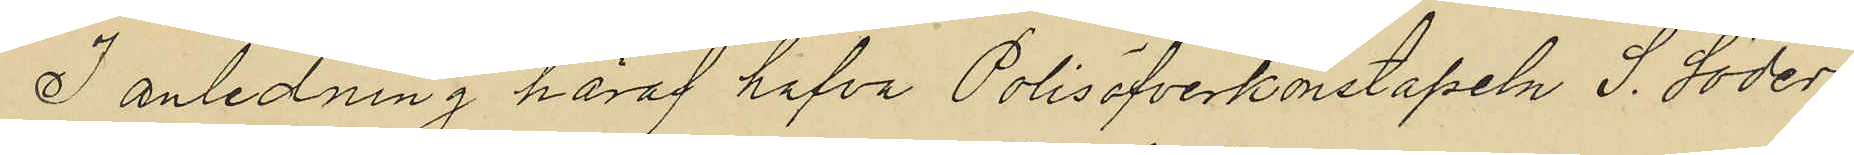I anledning häraf hafva Polisöfverkonstapeln S. Söder¬
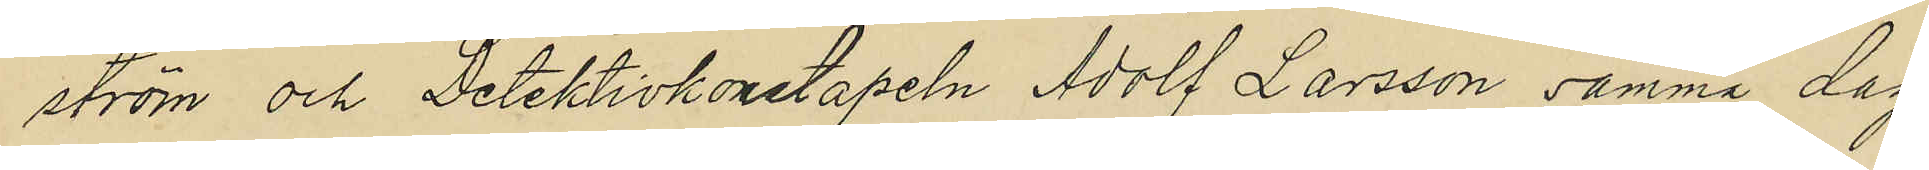ström och Detektivkonstapeln Adolf Larsson samma dag
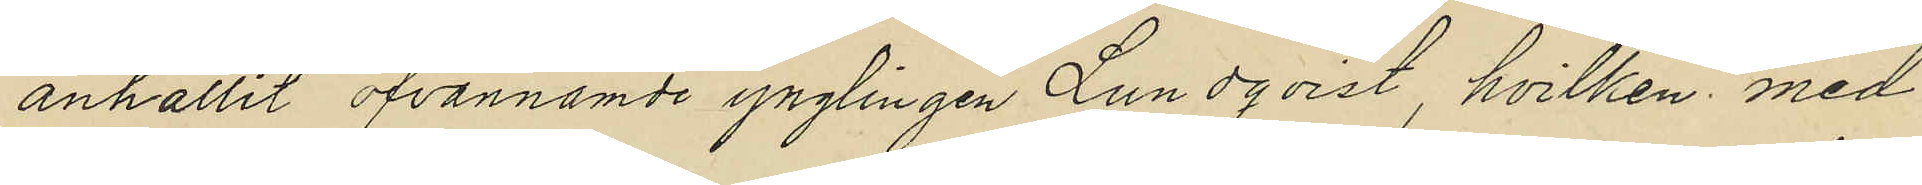anhållit ofvannämde ynglingen Lundqvist, hvilken med
